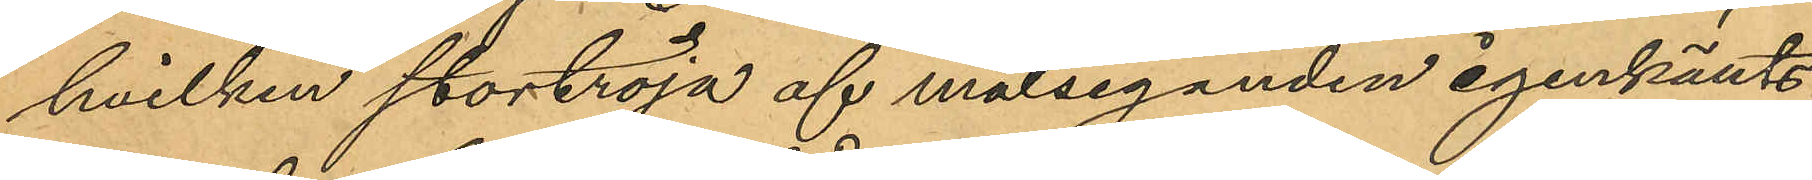hvilken stortröja af målseganden igenkänts
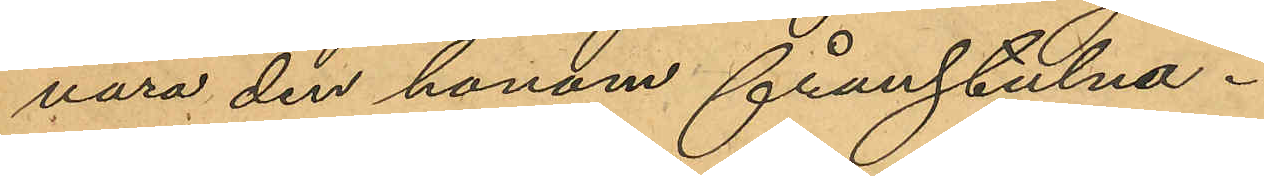vara den honom frånstulna.
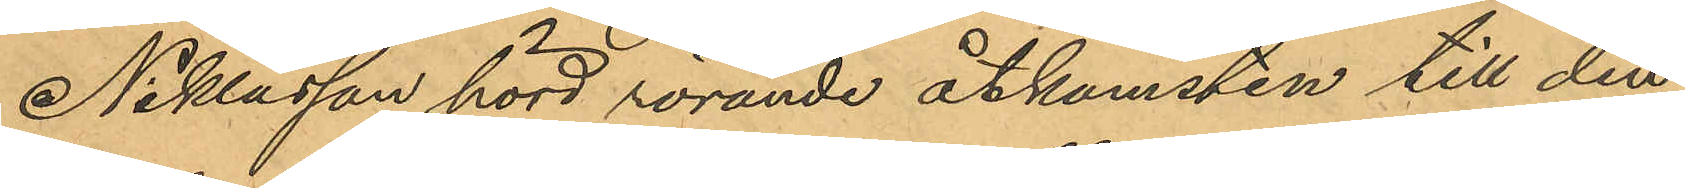Niklasson, hörd rörande åtkomsten till den
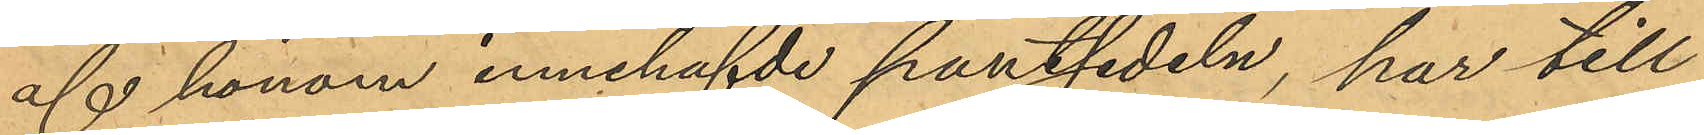af honom innehafde pantsedeln, har till
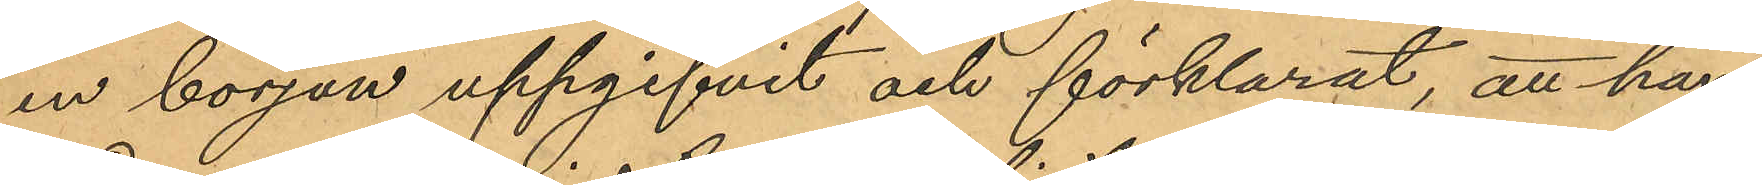en början uppgifvit och förklarat, att han
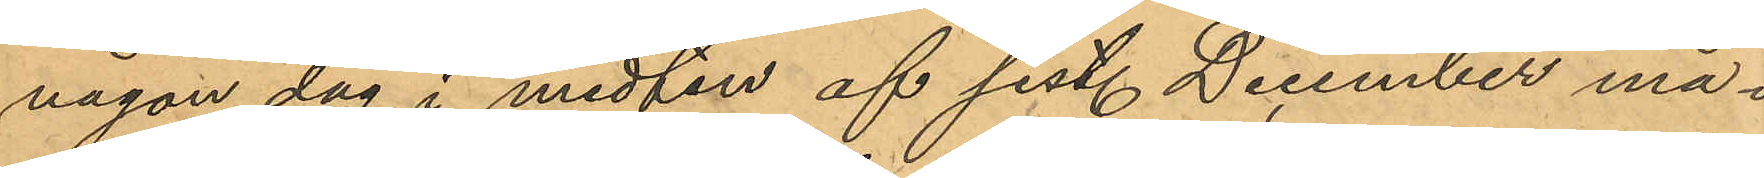någon dag i midten af sist. December må¬
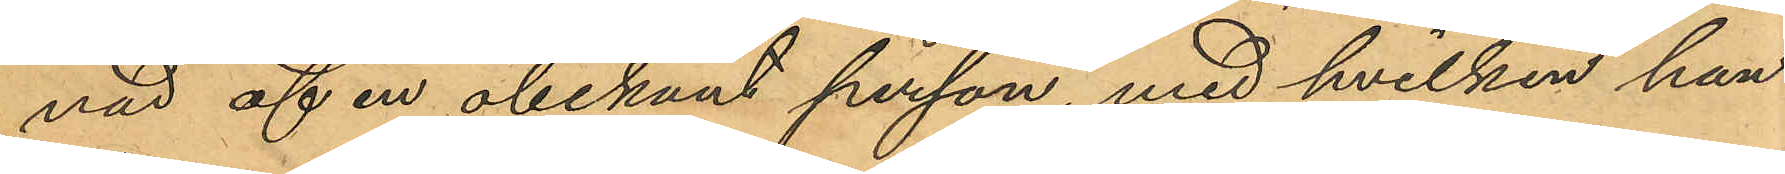nad af en obekant person, med hvilken han
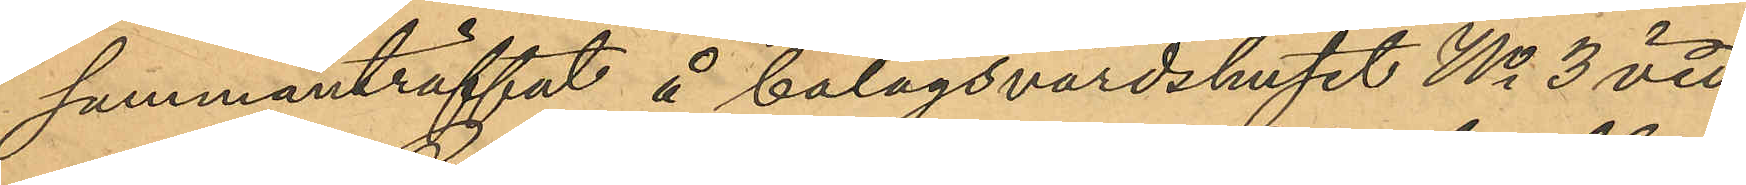sammanträffat å bolagsvärdshuset No 3 vid
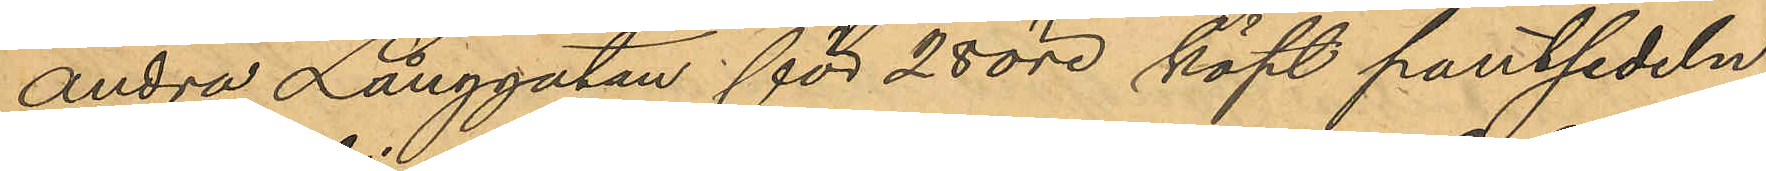andra Långgatan för 28 öre köpt pantsedeln,
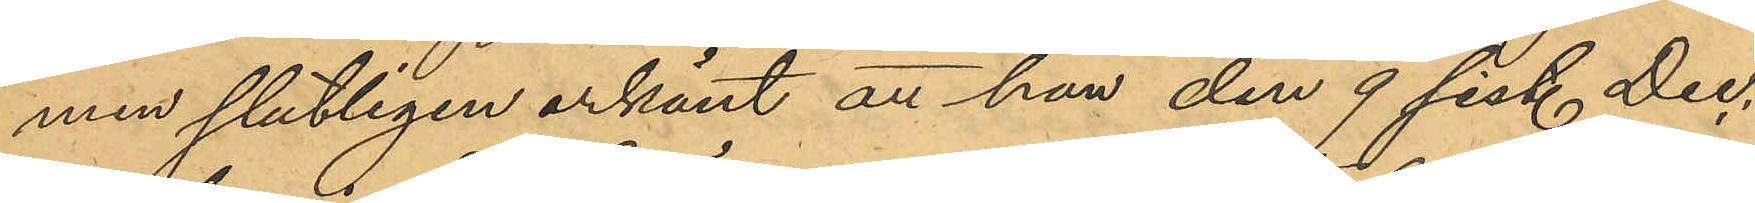men slutligen erkänt att han den 9 sist. Dec.
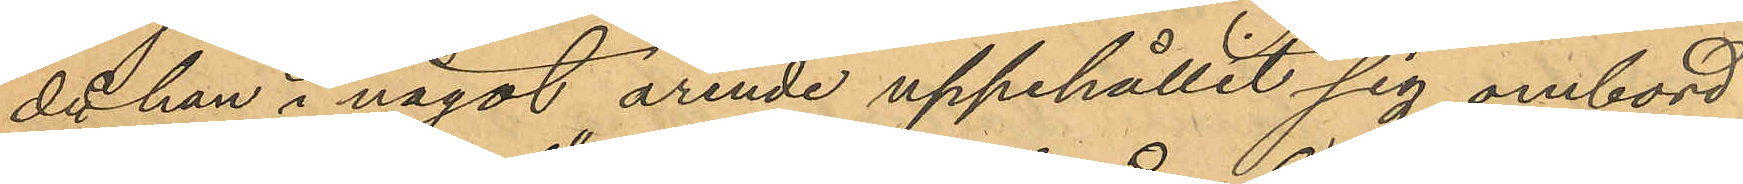då han i något ärende uppehållit sig ombord
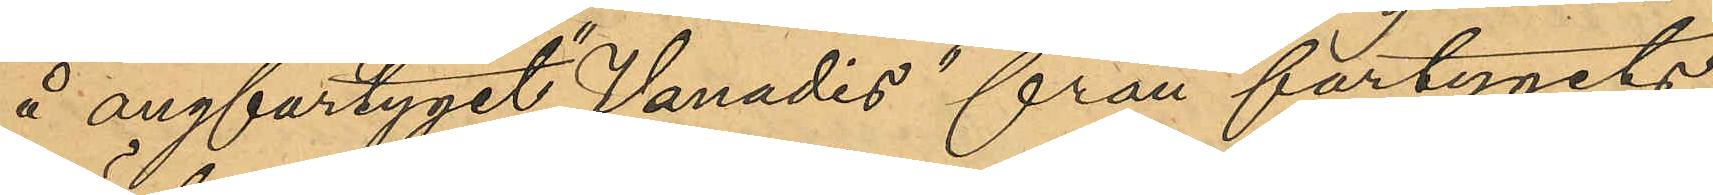å ångfartyget "Vanadis" från fartygets
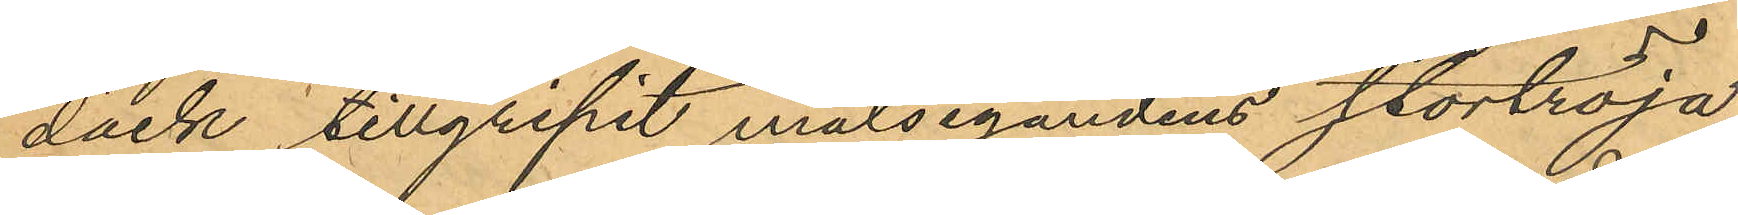däck tillgripit målsegandens stortröja,
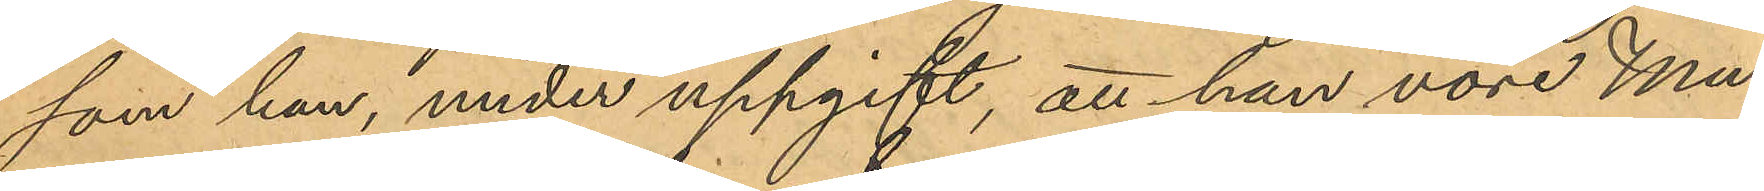som han, under uppgift, att han vore Mu¬
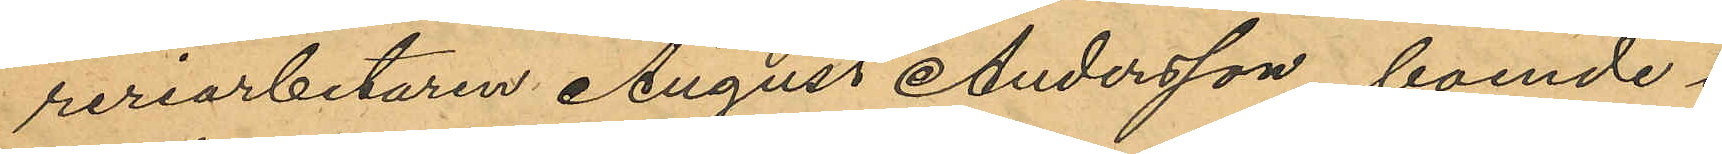reriarbetaren August Andersson, boende i
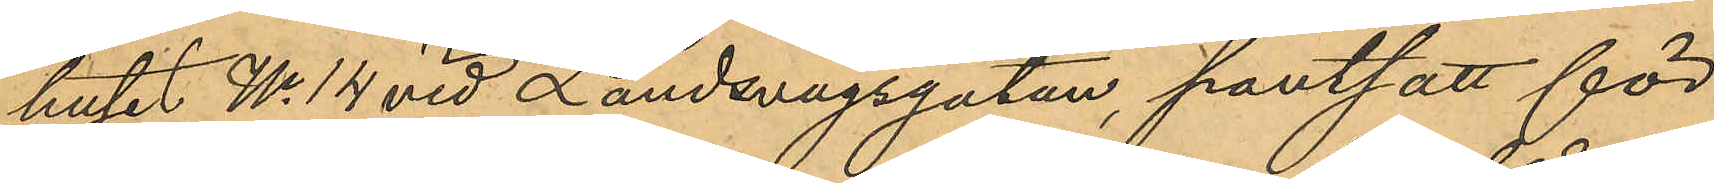huset No 14 vid Landsvägsgatan, pantsatt för
